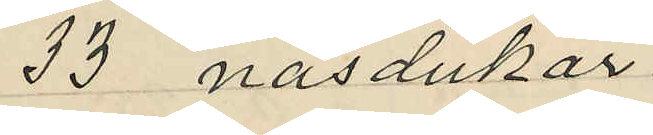33 näsdukar
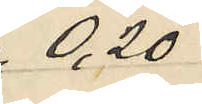0,20
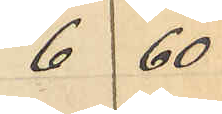6 60
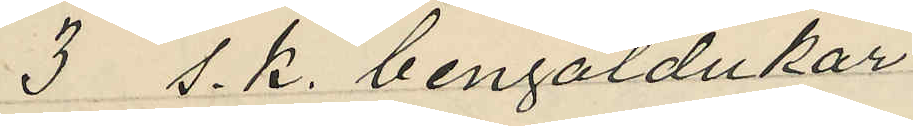3 s. k. bengaldukar
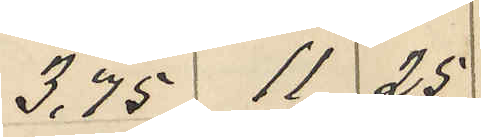3,75 11 25
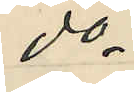do
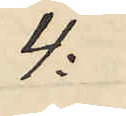4:
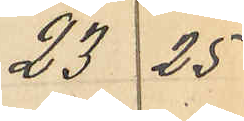23 25
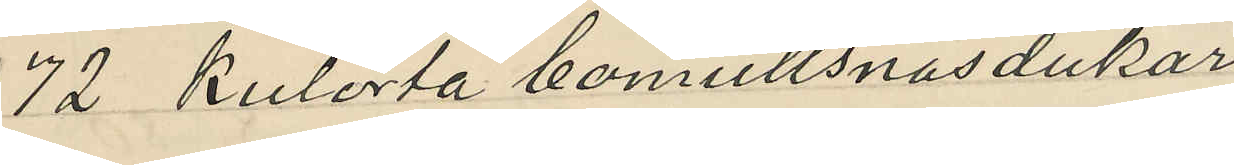72 kulorta bomullsnäsdukar
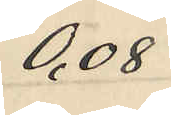0,08
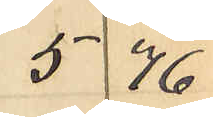5 76
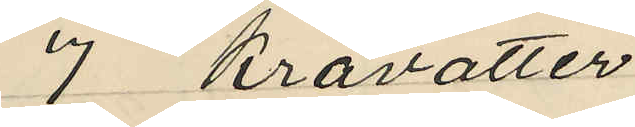7 Kravatter
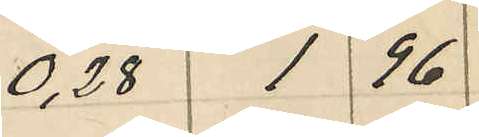0,28 1 96
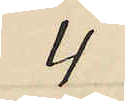4
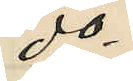do
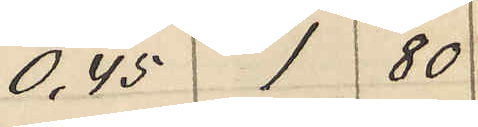0,45 1 80
